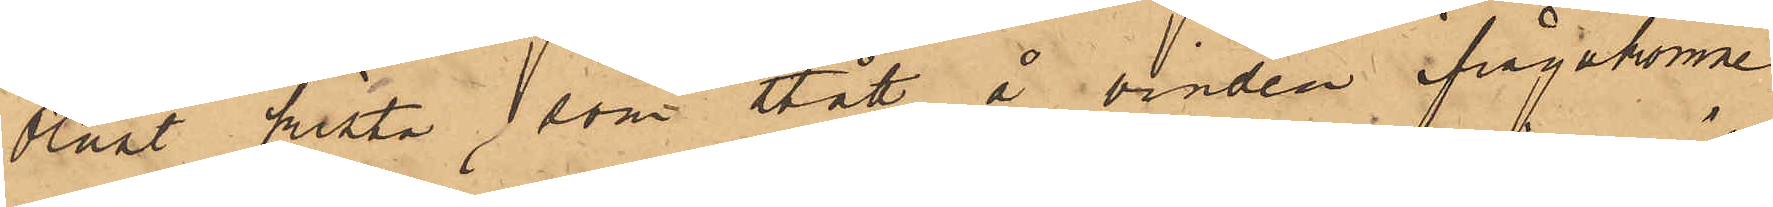olåst kista, som stått å vinden ifrågakomne
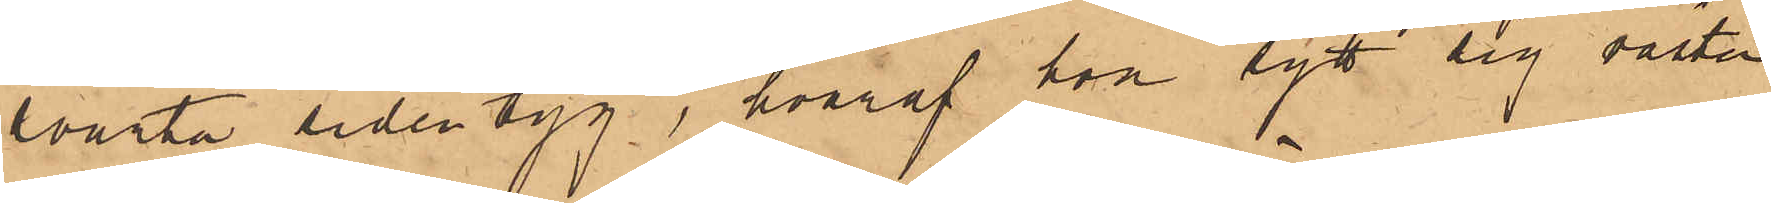svarta sidentyg, hvaraf hon sytt sig västen
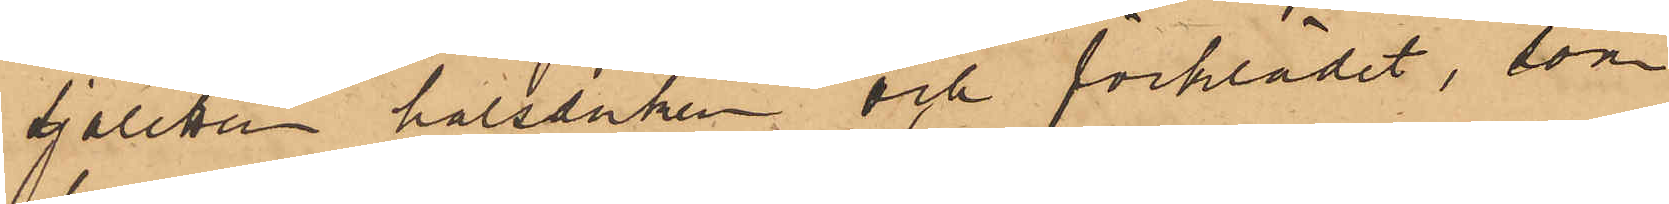sjaletten halsduken och förklädet, som
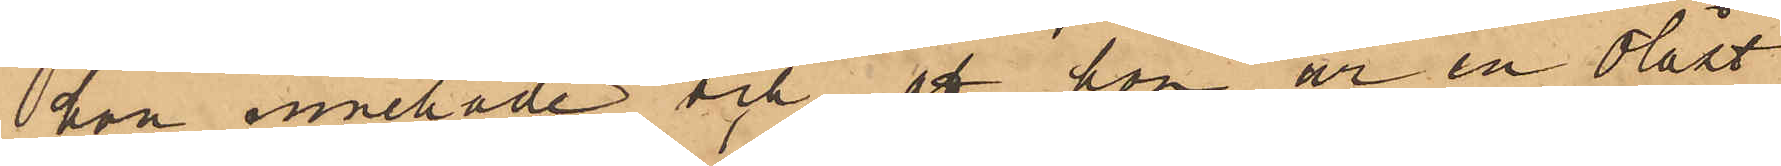hon innehade och att hon ur en olåst
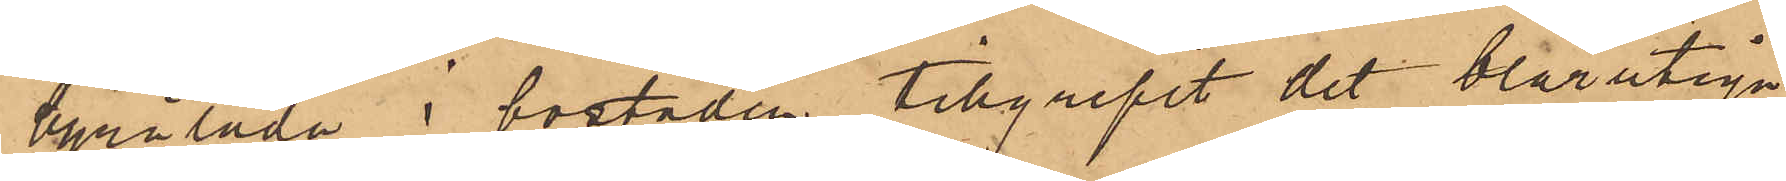byrålåda i bostaden tillgripit det blårutiga
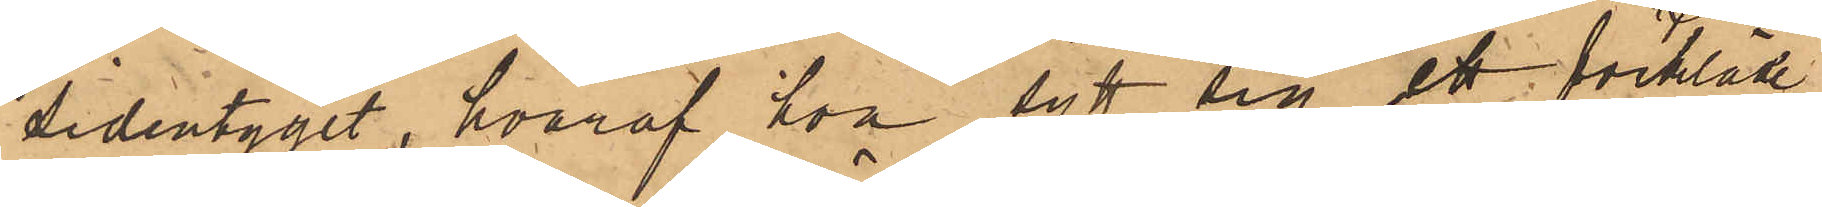sidentyget, hvaraf hon sytt sig ett förkläde,
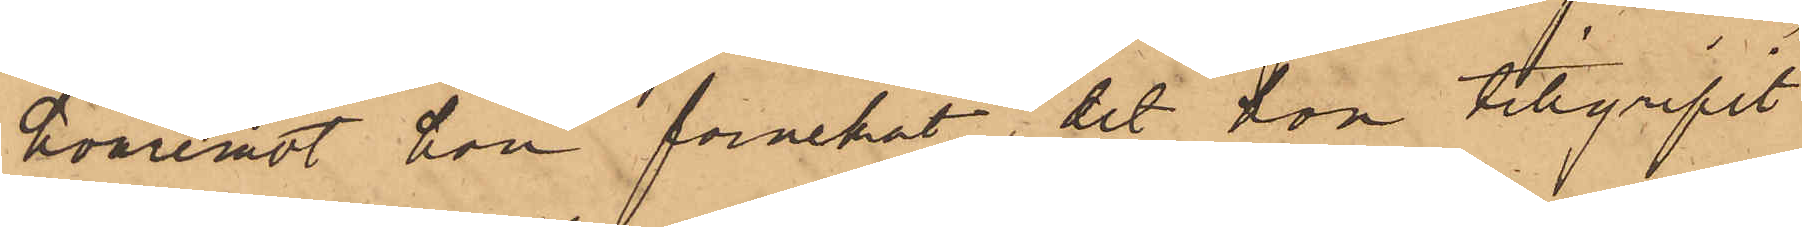hvaremot hon förnekat, det hon tillgripit
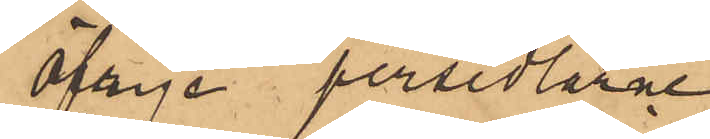öfrige persedlarne.
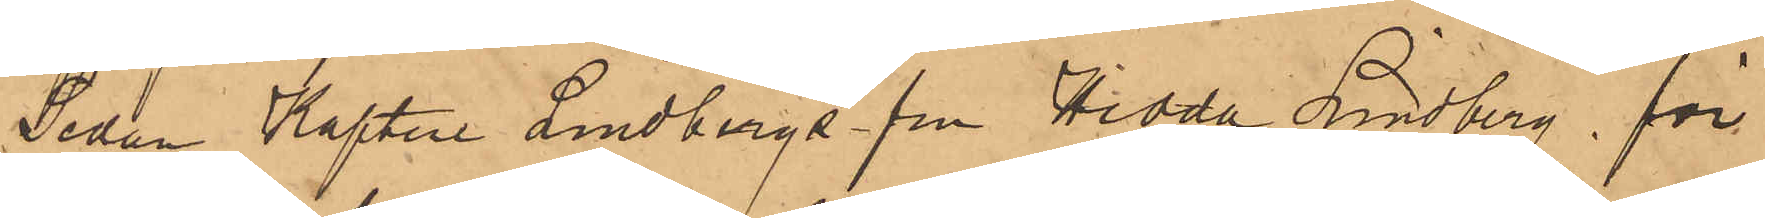Sedan Kapten Lindbergs fru Hedda Lindberg, för¬
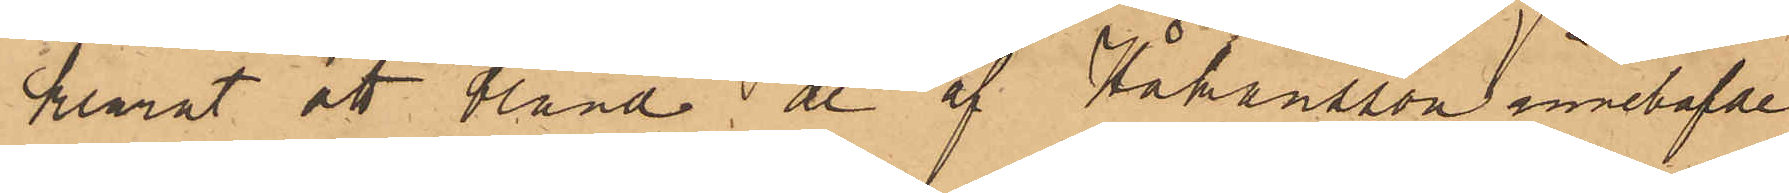klarat att bland de af Håkansson innehafvde
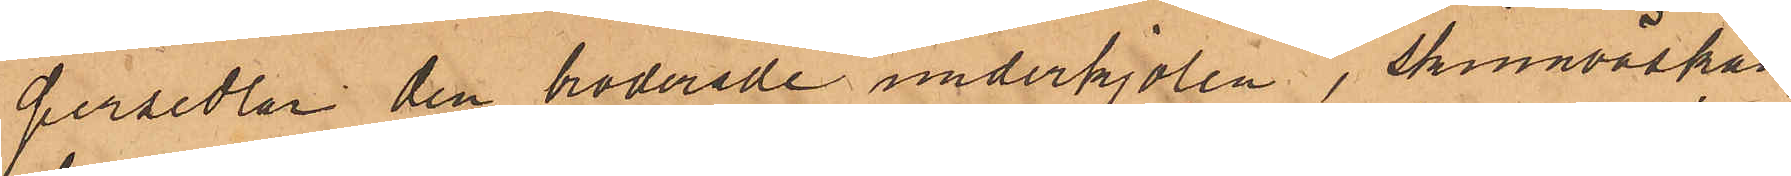persedlar den broderade underkjolen, skinnväskan,
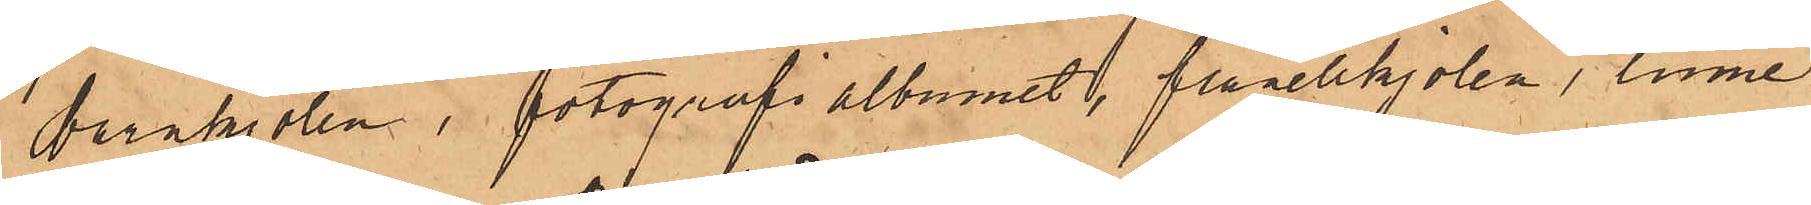barnkjolen, fotografialbumet, flanellkjolen, linne¬
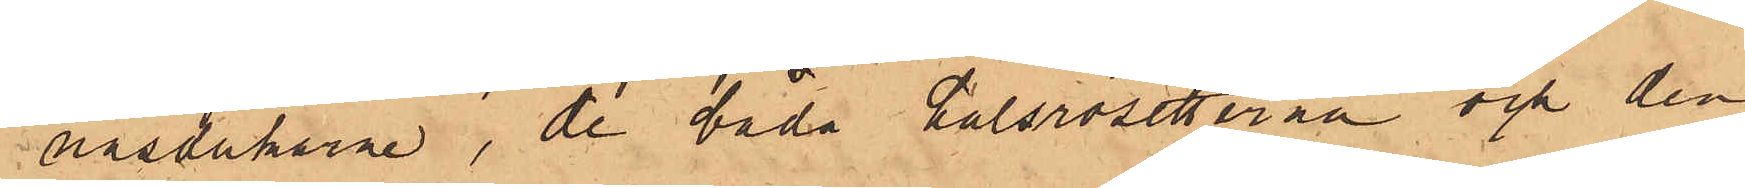näsdukarne, de båda halsrosetterna och den
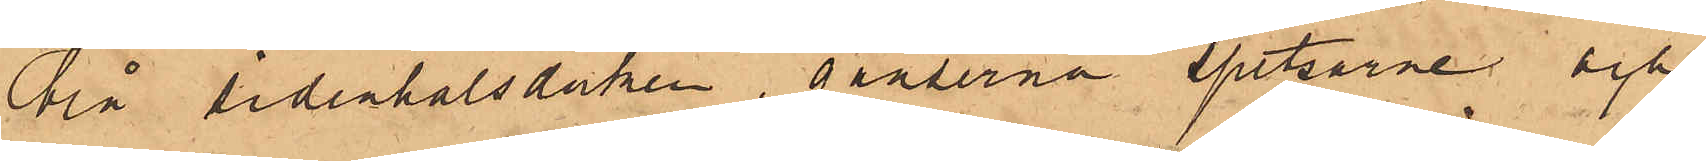blå sidenhalsduken, ganserna spetsarne och
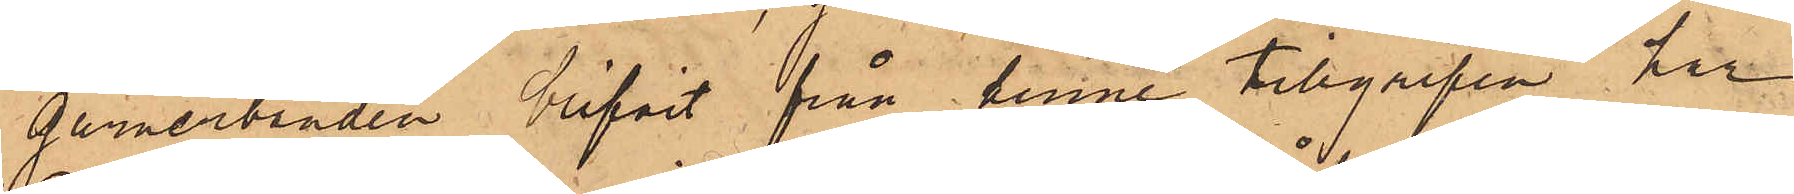garnerbanden blifvit från henne tillgripne har
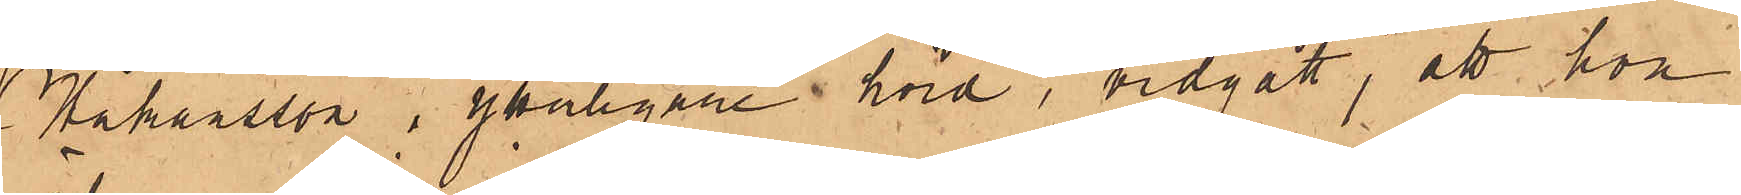Håkansson,  i ytterligare hörd, vidgått, att hon
